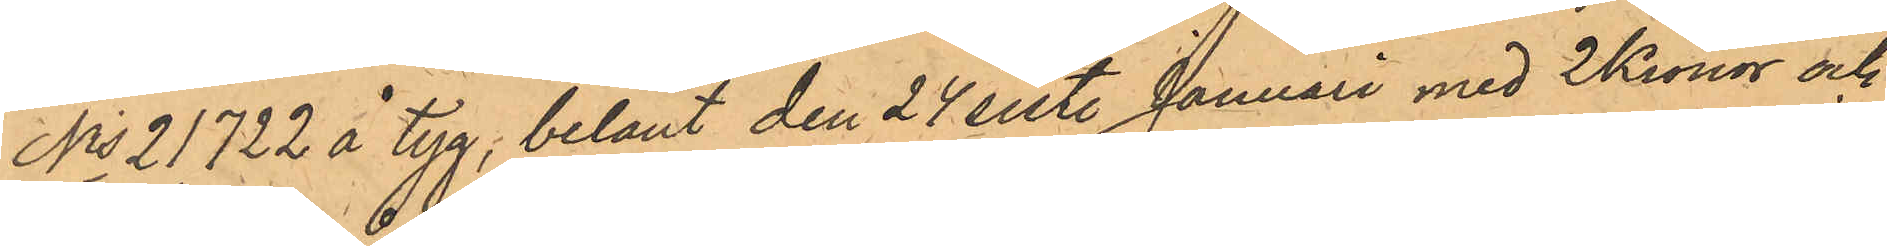No 21,722 å tyg, belånt den 24 sist. Januari med 2 Kronor och
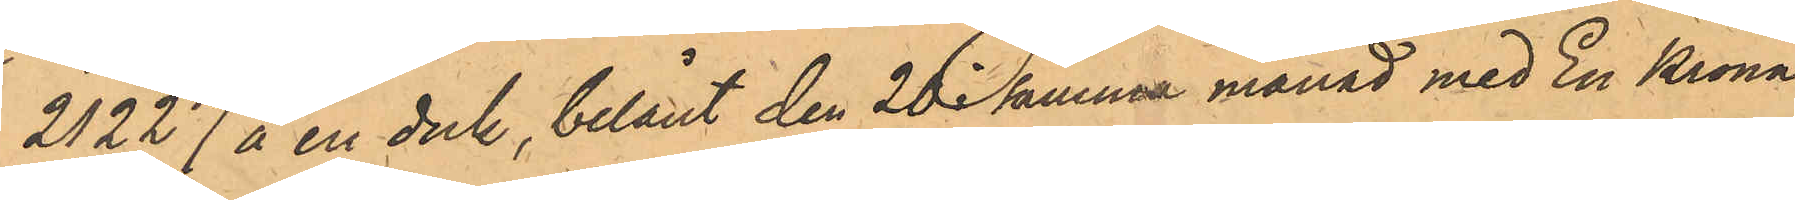21,227 å en duk, belånt den 20 i samma månad med En Krona
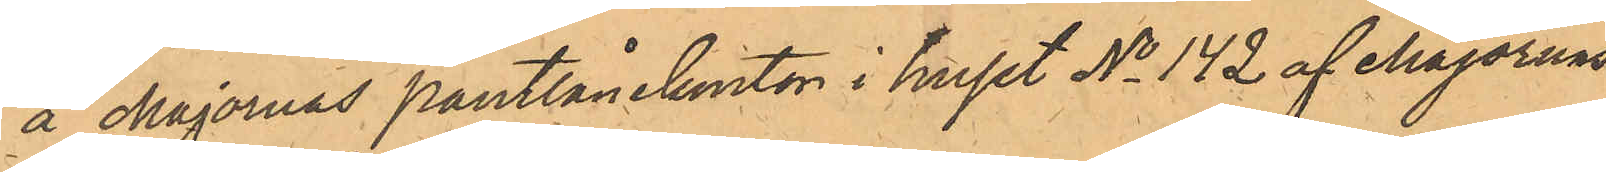å Majornas Pantlånekontor i huset No 142 af Majornas
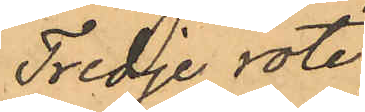Tredje rote.
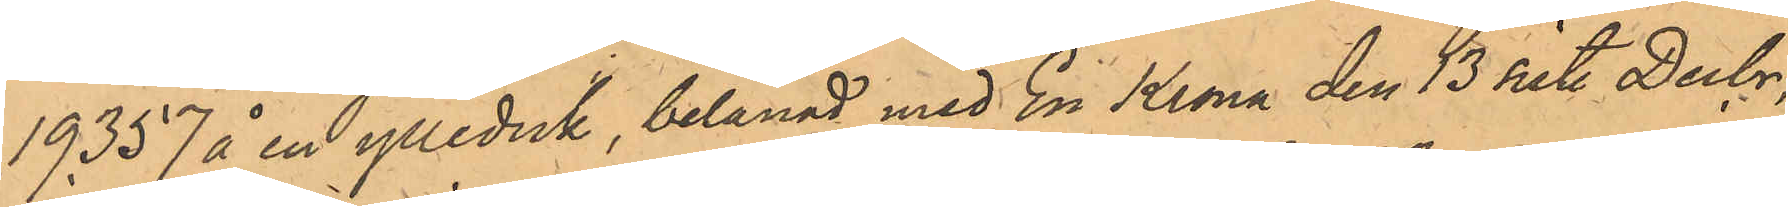19,357 å en ylleduk, belånad med En Krona den 13 sist. Decbr;
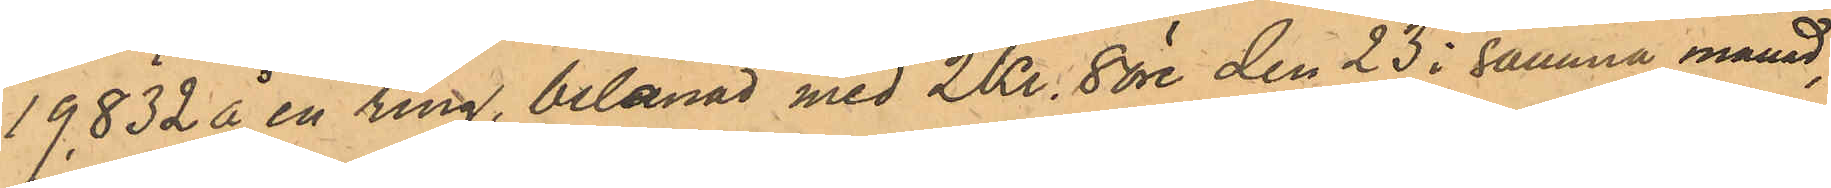19,832 å en ring, belånad med 2 Kr 8 öre den 23 i samma månad,
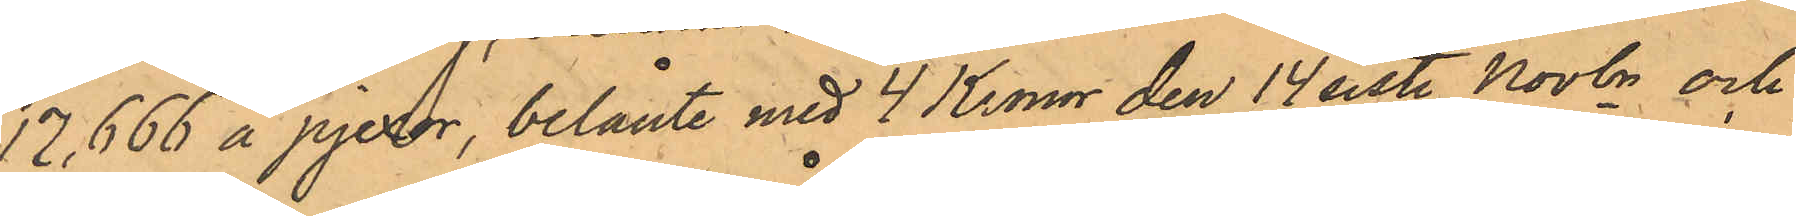17,666 å pjexor, belånte med 4 Kronor den 14 sist. Novbr och
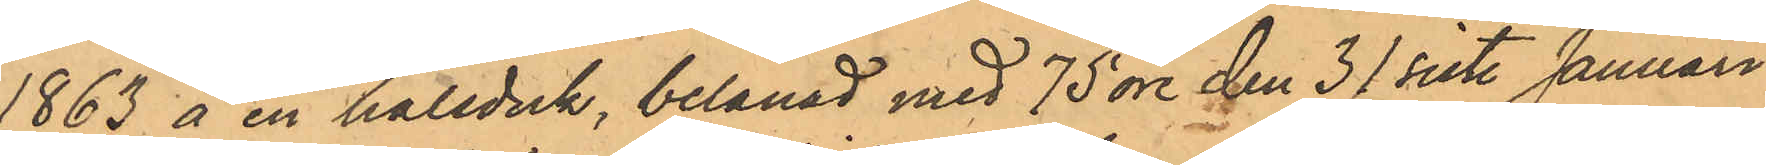1863 å en halsduk, belånad med 75 öre den 31 sist. Januari
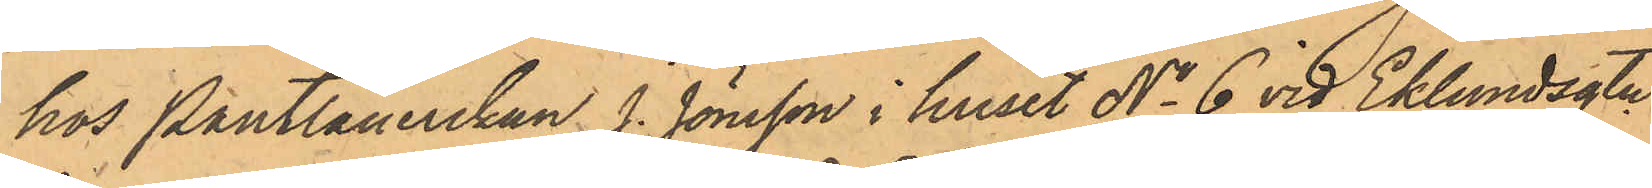hos Pantlånerskan J. Jönsson i huset No 6 vid Eklundsgtn
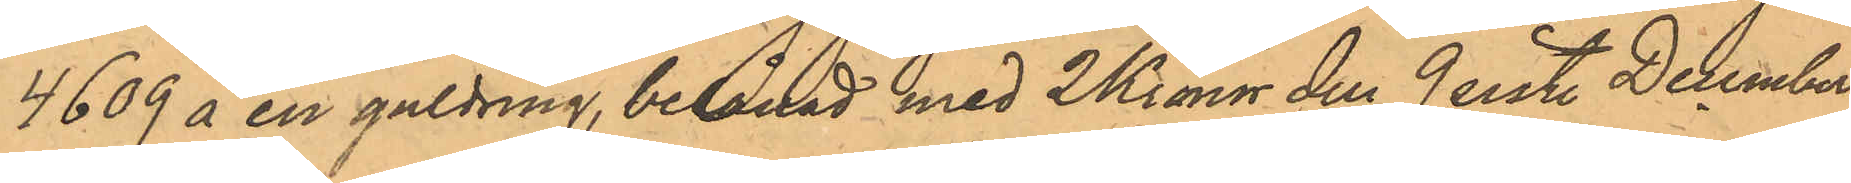4609 å en guldring, belånad med 2 Kronor den 9 sist. December
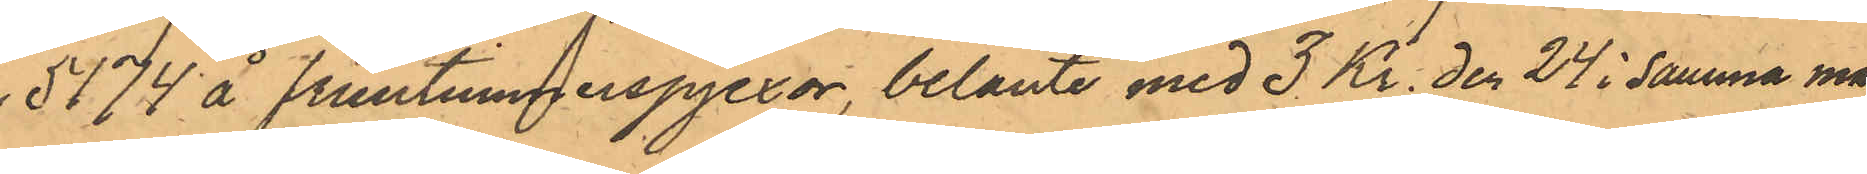5174 å fruntimmerspjexor, belånte med 3 Kr den 24 i samma må¬
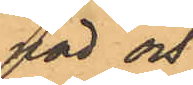nad och
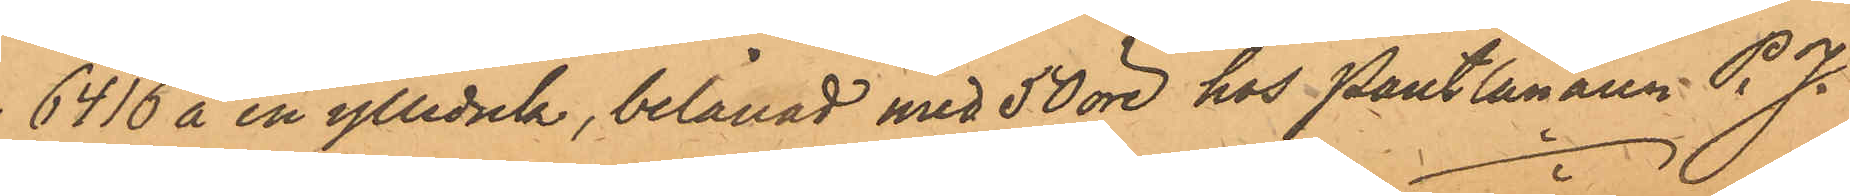6416 å en ylleduk, belånad med 50 öre hos Pantlånaren P. J.
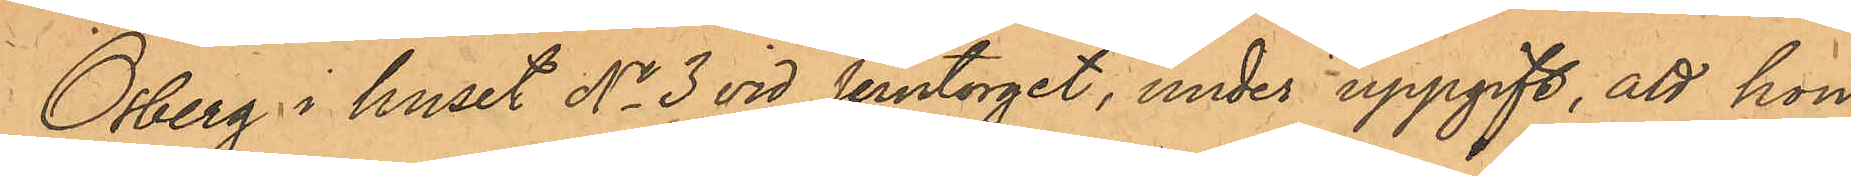Osberg i huset No 3 vid Jerntorget, under uppgift, att hon
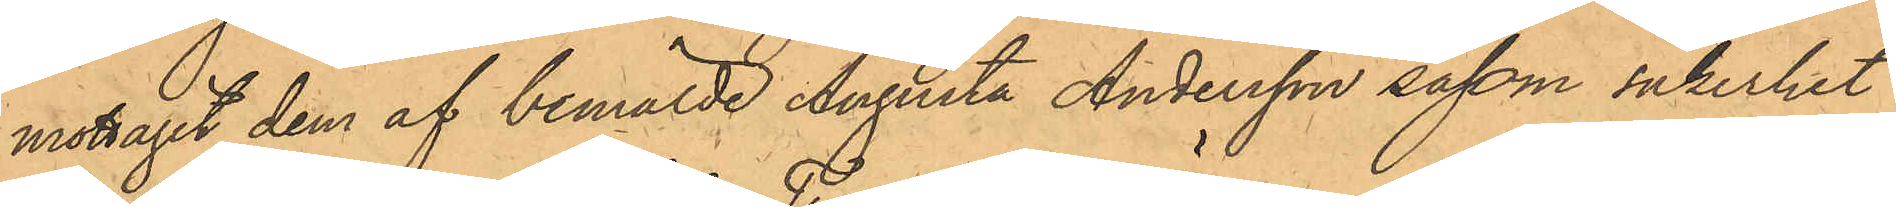mottagit dem af bemälde Augusta Andersson såsom säkerhet
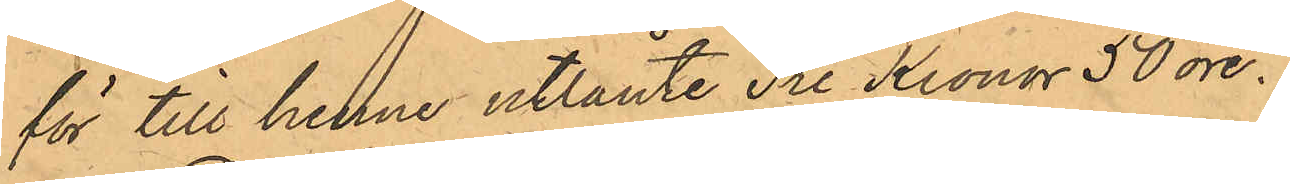för till henne utlånte Tre Kronor 50 öre.
